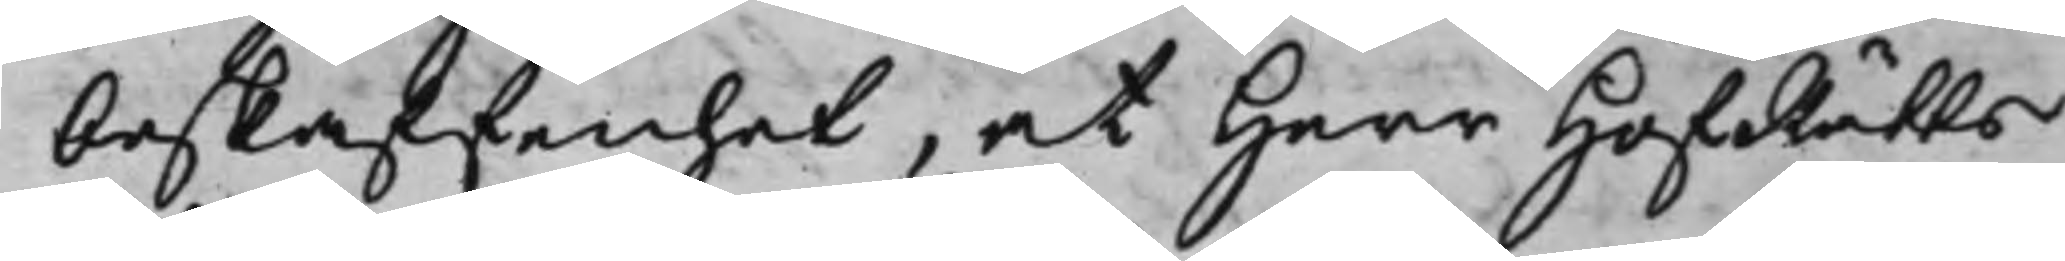beskaffenhet, at Herr HofRätts¬
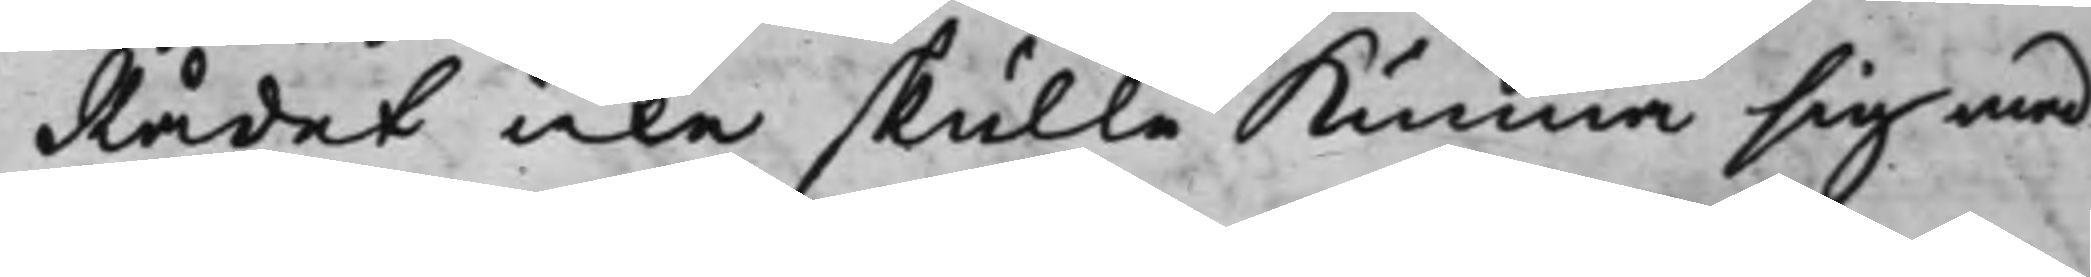Rådet icke skulle kunna sig med
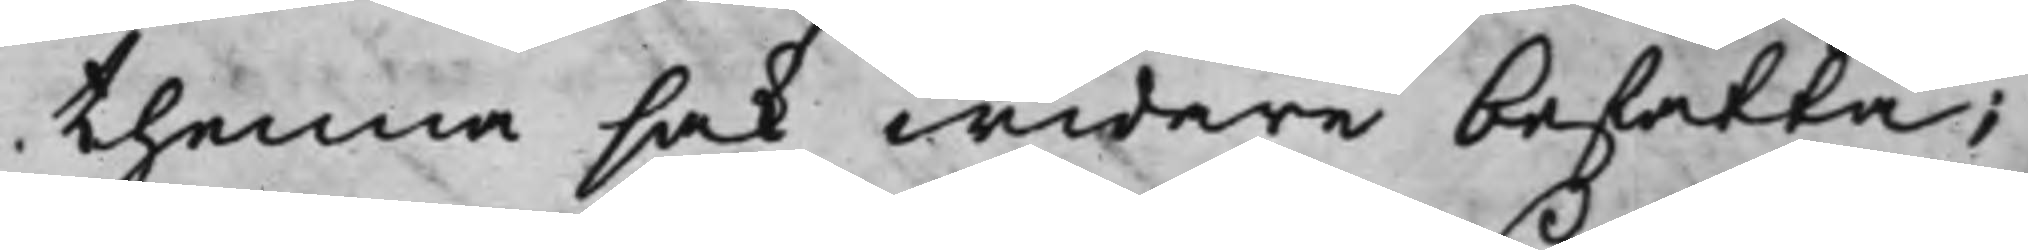thenna sak widare befatta;
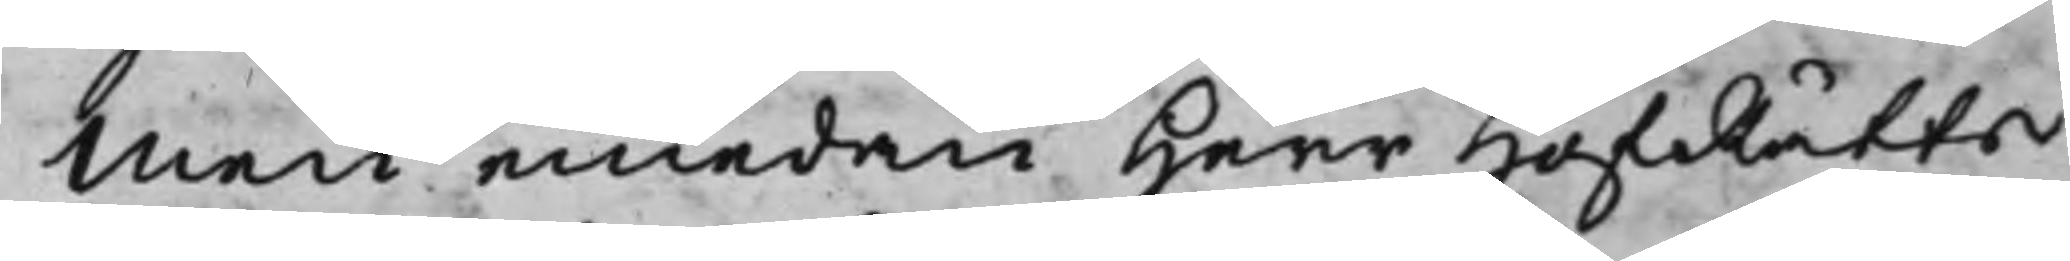Men emedan Herr HofRätts¬
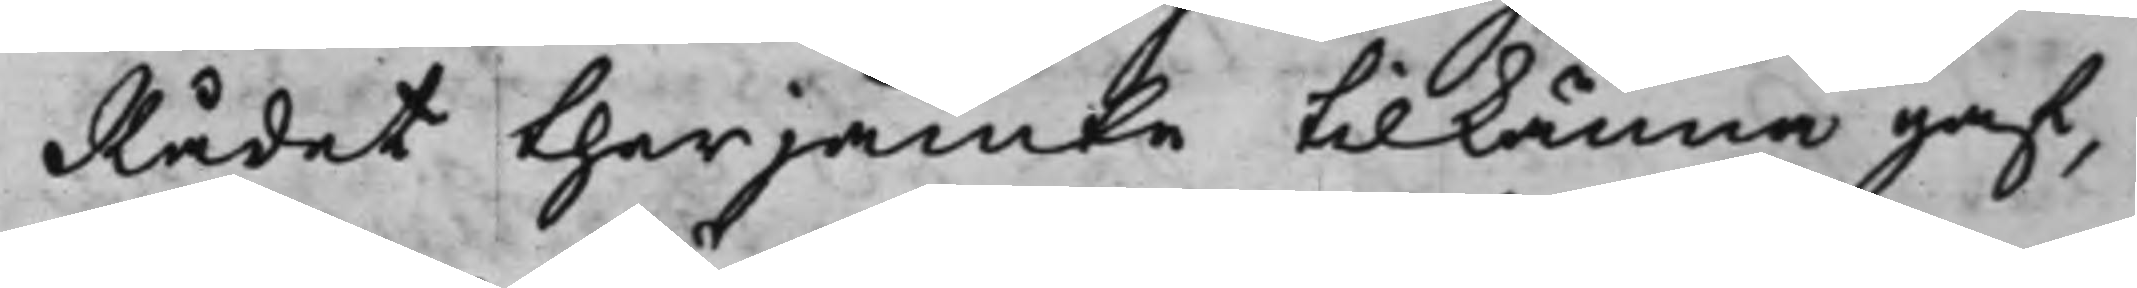Rådet therjämte tilkänna gaf,
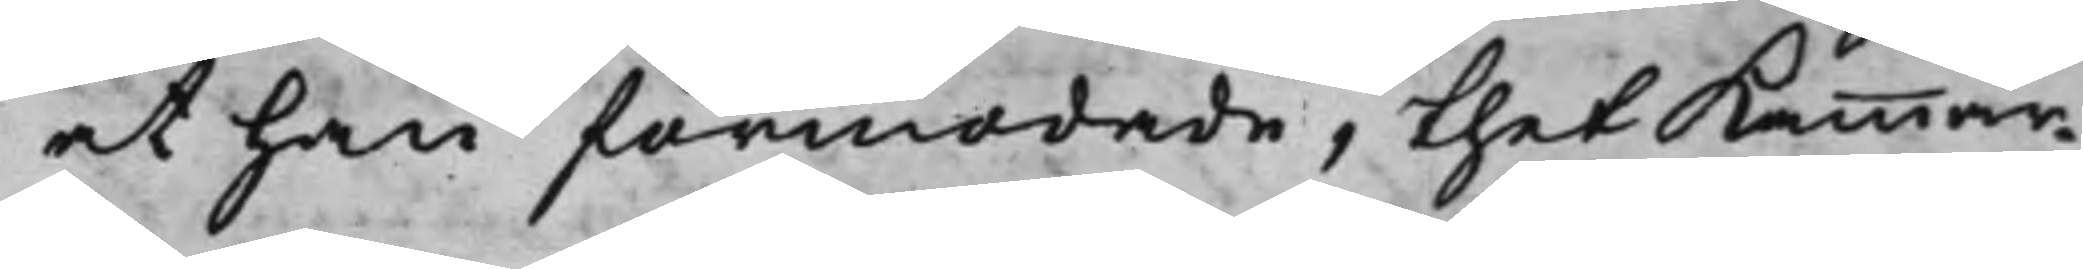at han förmodade, thet Kammar¬
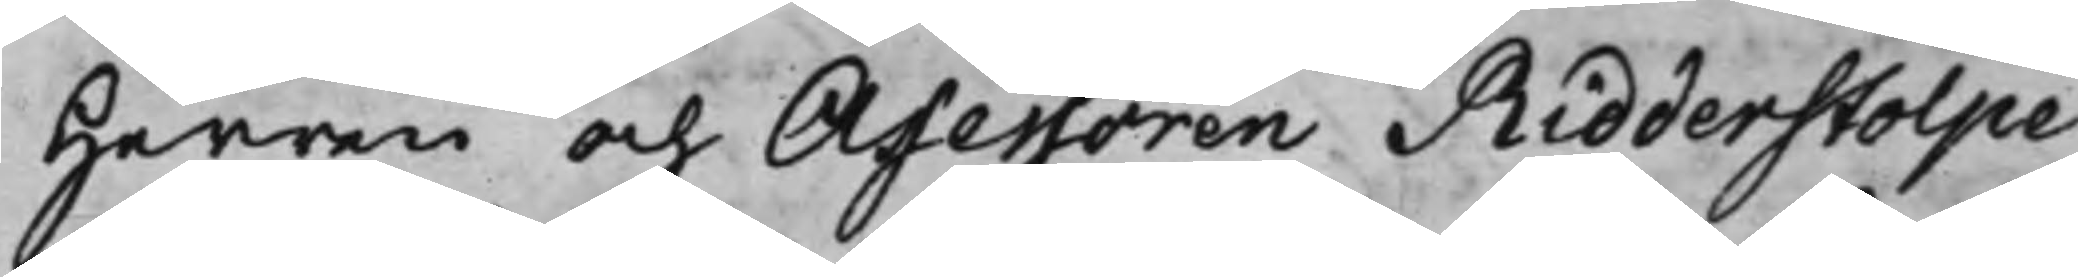Herren och Assessoren Ridderstolpe
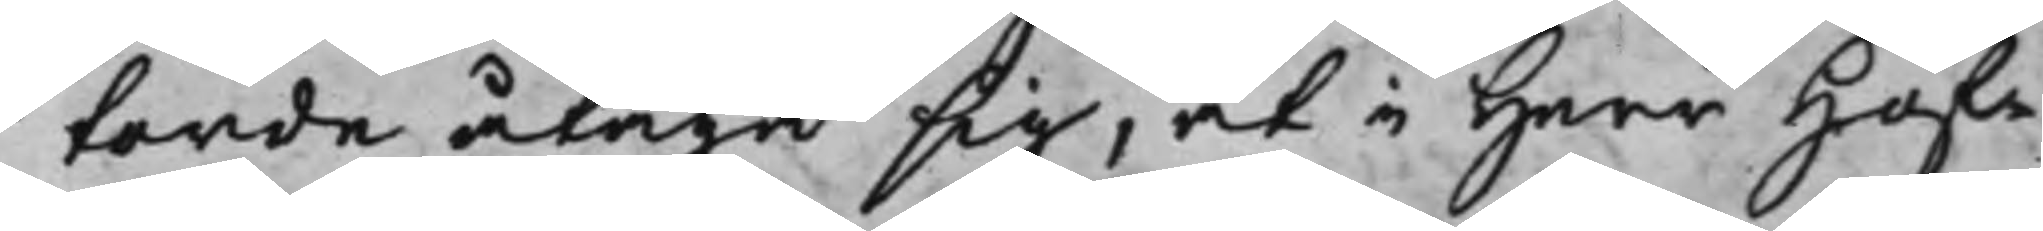torde åtaga sig, at i Herr Hof¬
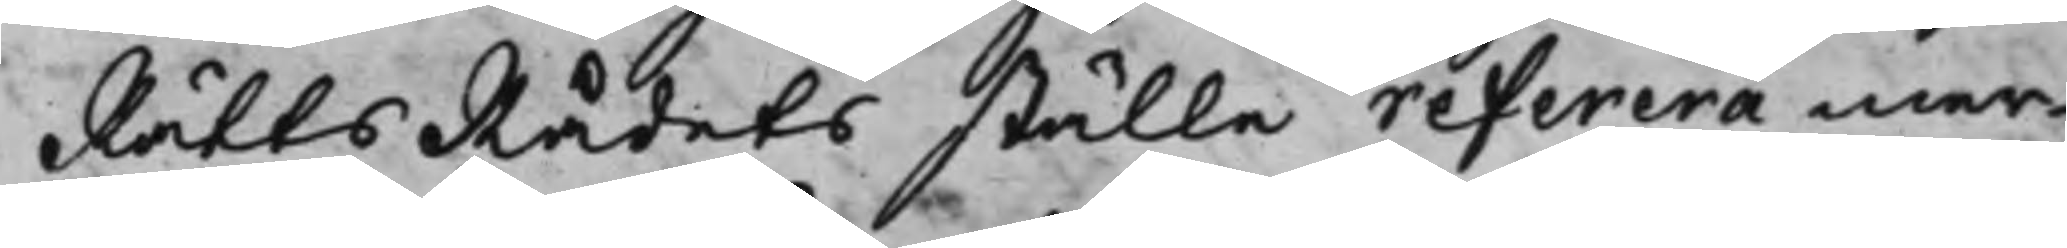RättsRådets ställe referera mer¬
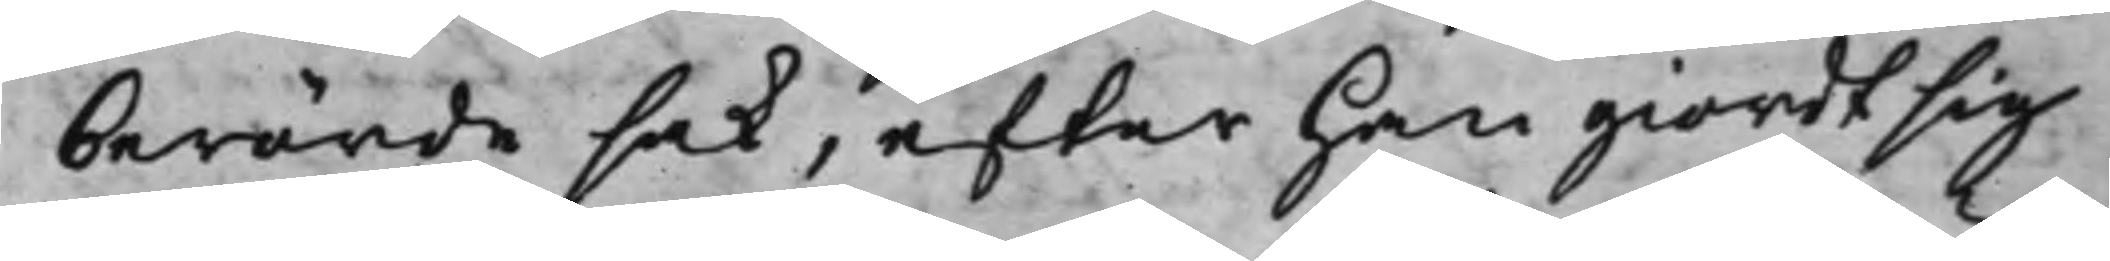berörde sak, efter han giordt sig
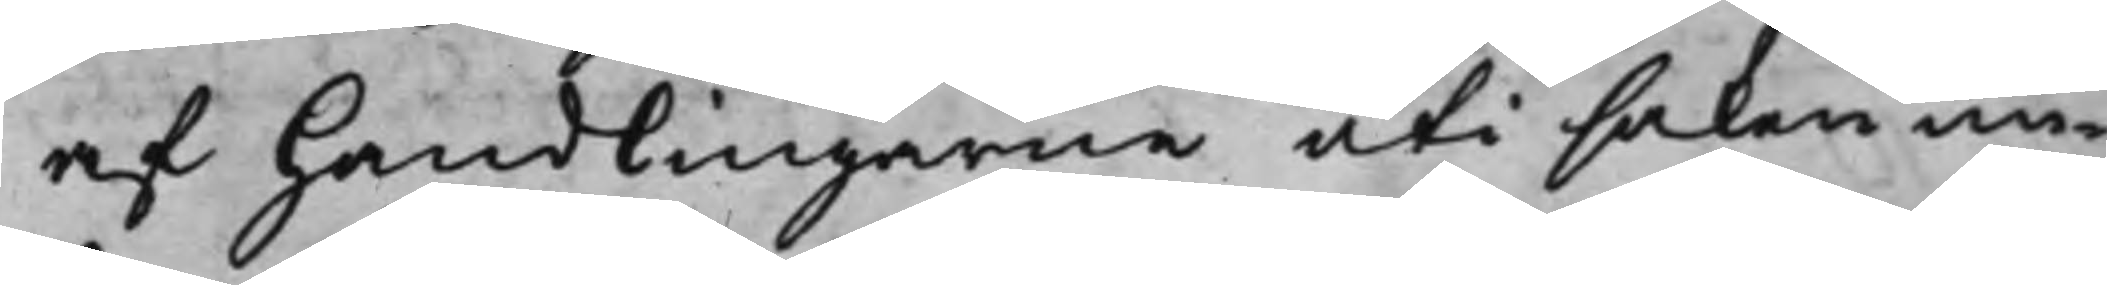af handlingarne uti saken un¬
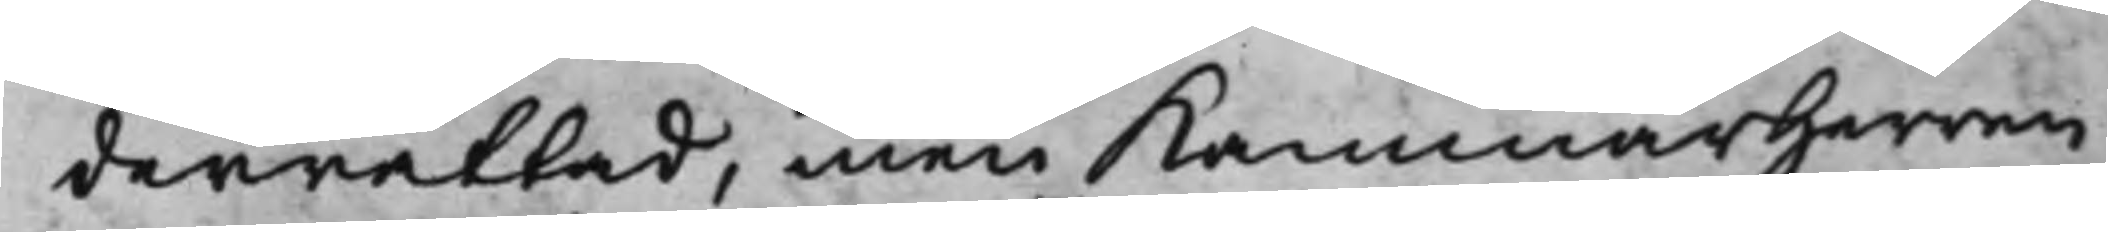derrättad, men kammarherren
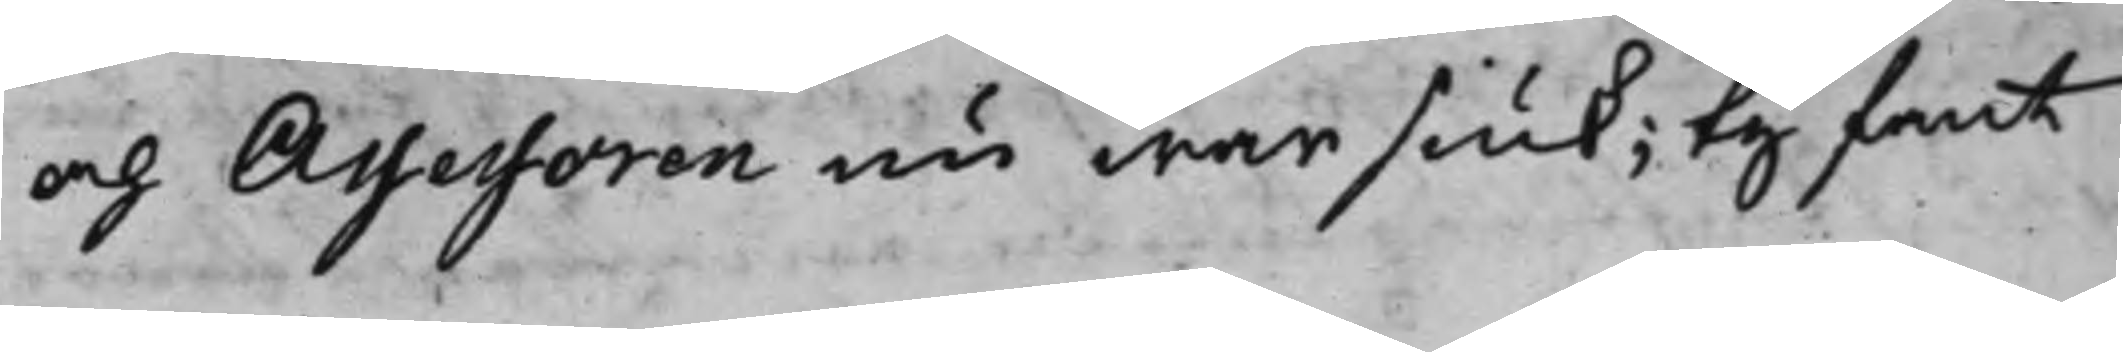och Assessoren nu war siuk; Ty fant
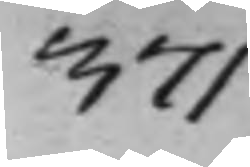371
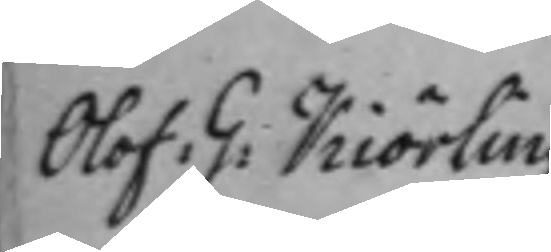Olof G: Kiörling
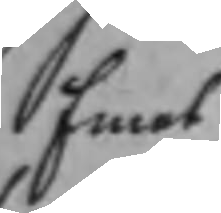Emot
